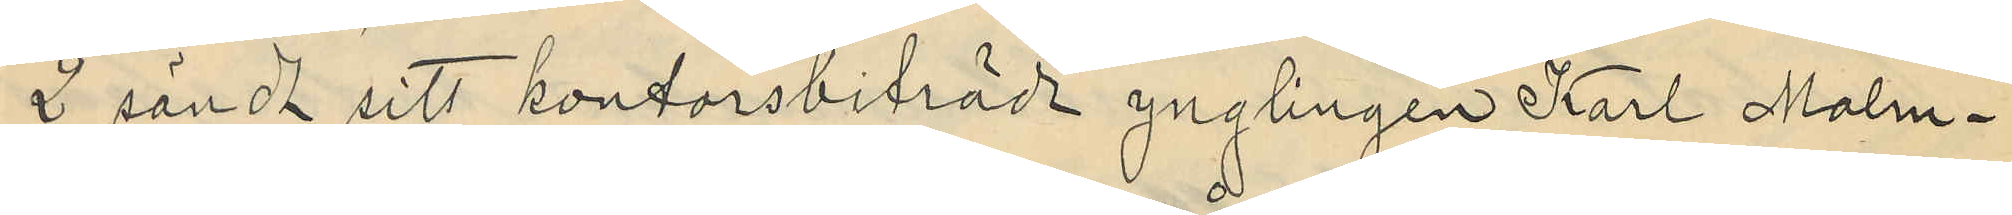2 sändt sitt kontorsbiträde ynglingen Karl Malm¬
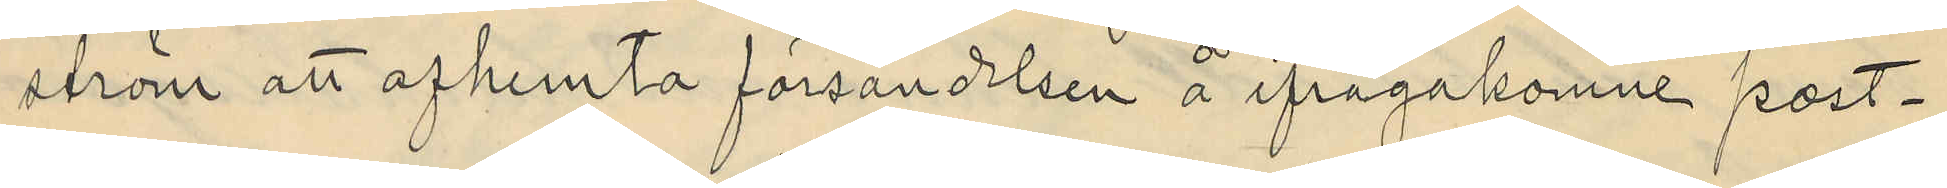ström att afhemta försändelsen å ifrågakomne post¬
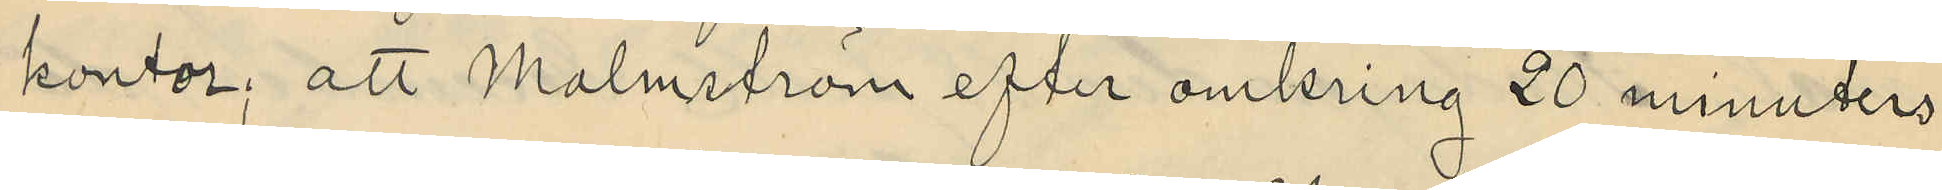kontor; att Malmström efter omkring 20 minuters
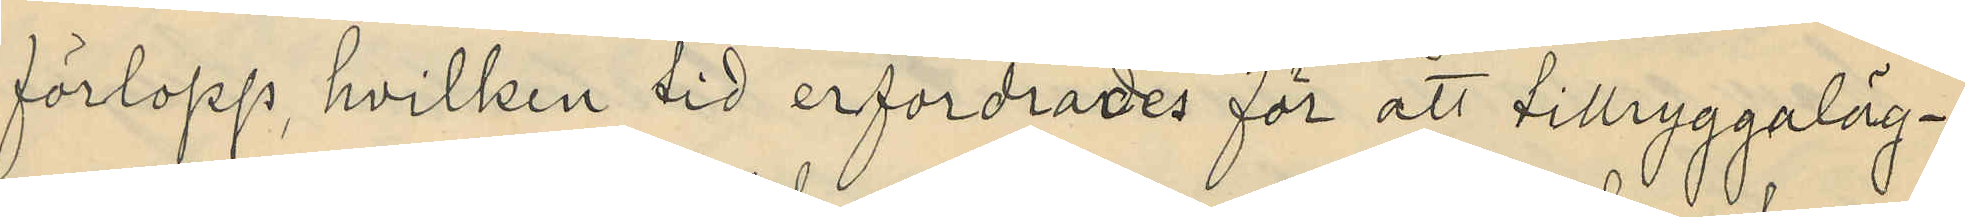förlopp, hvilken tid erfordrades för att tillryggaläg¬
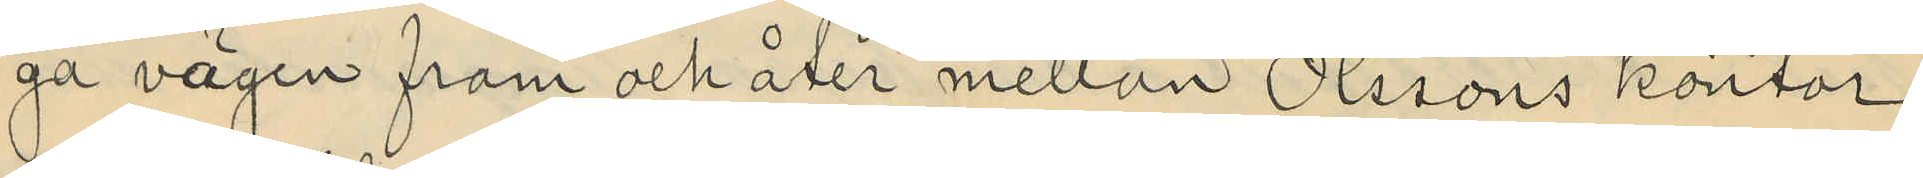ga vägen fram och åter mellan Olssons kontor
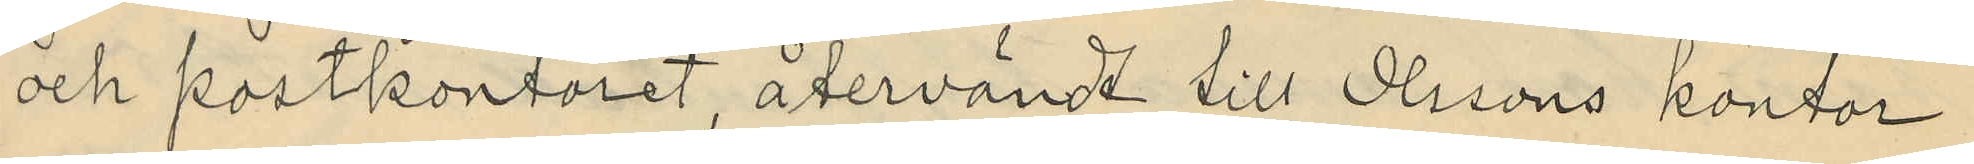och postkontoret, återvändt till Olssons kontor
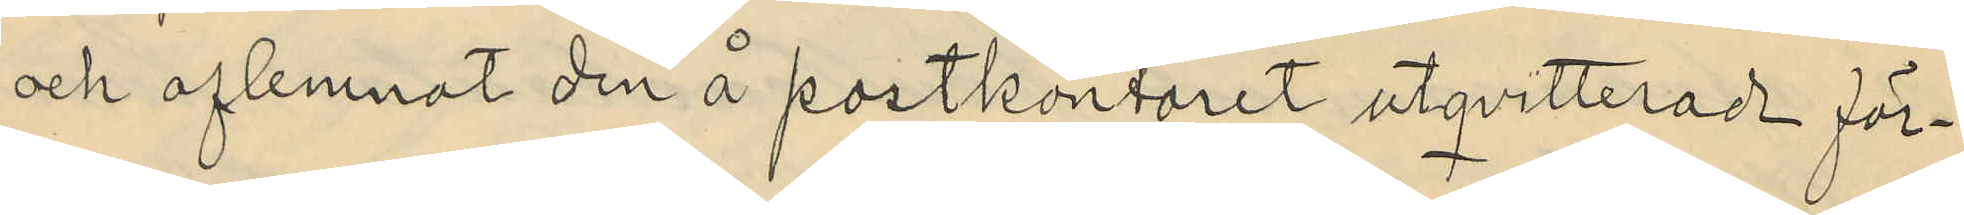och aflemnat den å postkontoret utqvitterade för¬
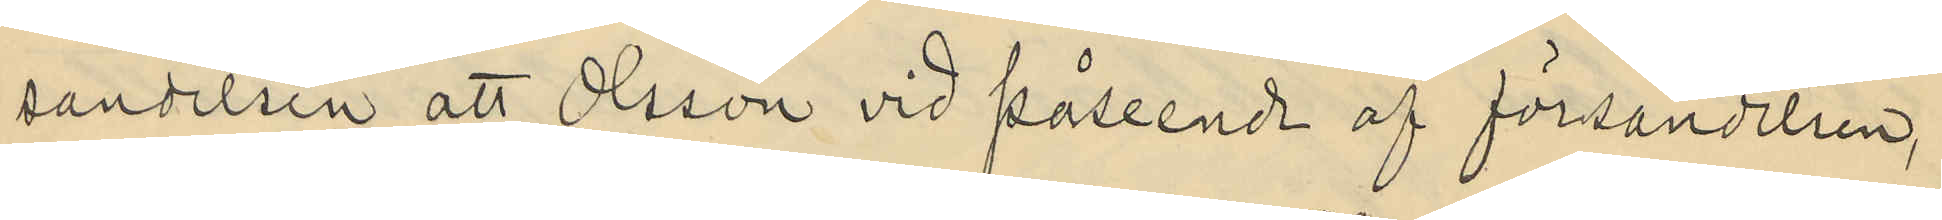sandelsen, att Olsson vid påseende af försändelsen,
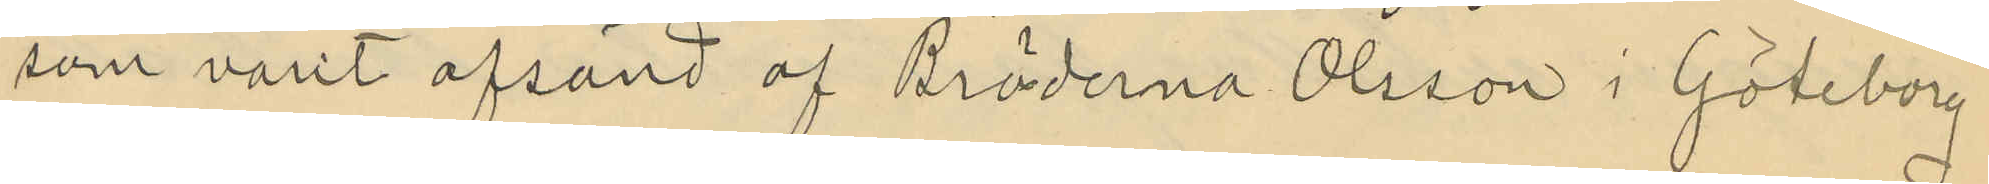som varit afsänd af Bröderna Olsson i Göteborg
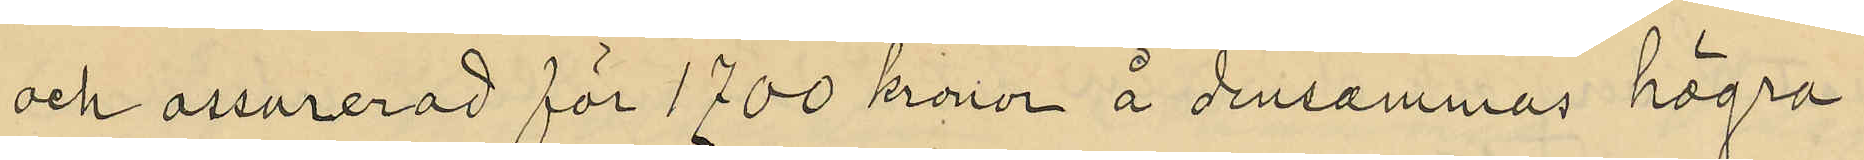och assurerad för 1700 kronor å densammas högra
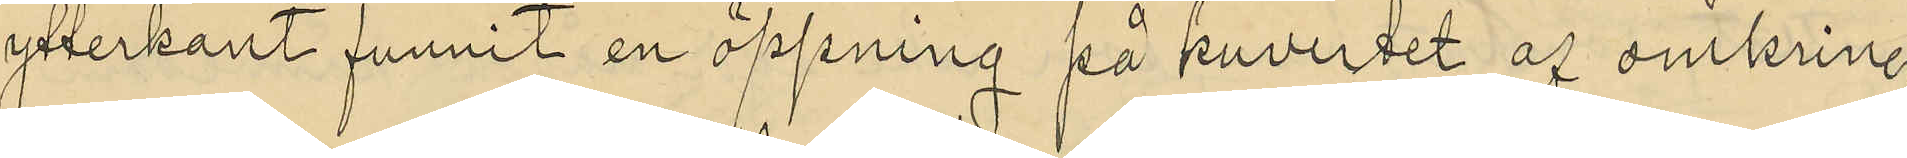ytterkant funnit en öppning på kuvertet af omkring
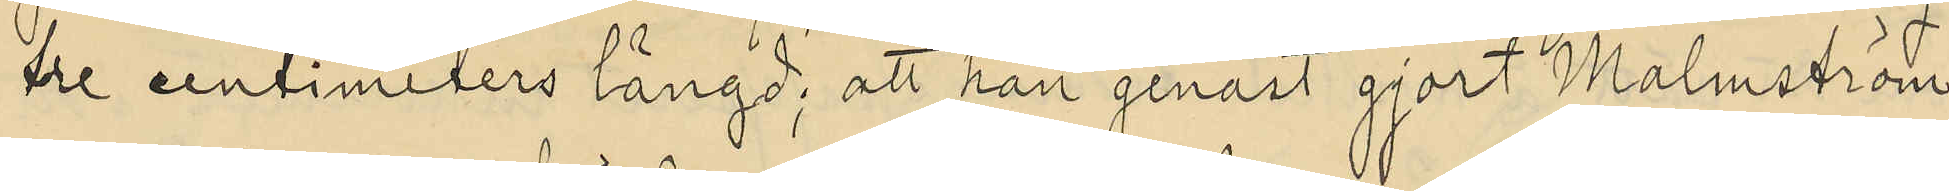tre centimeters längd; att han genast gjort Malmström
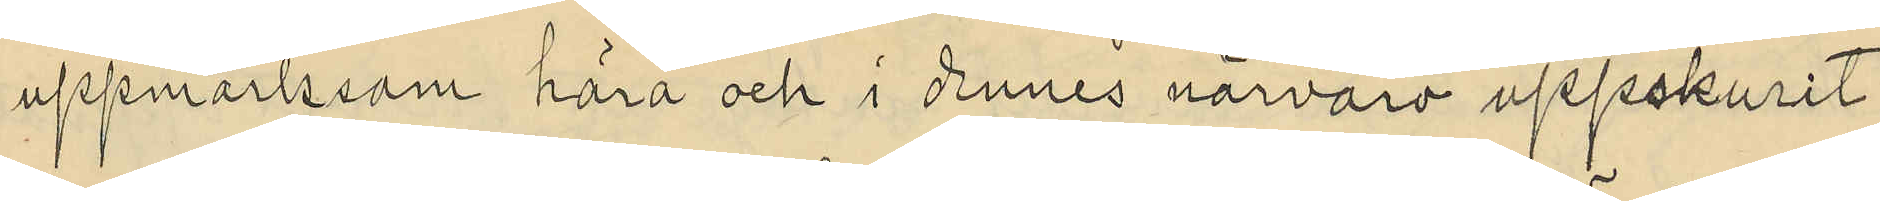uppmärksom härå och i dennes närvaro uppskurit
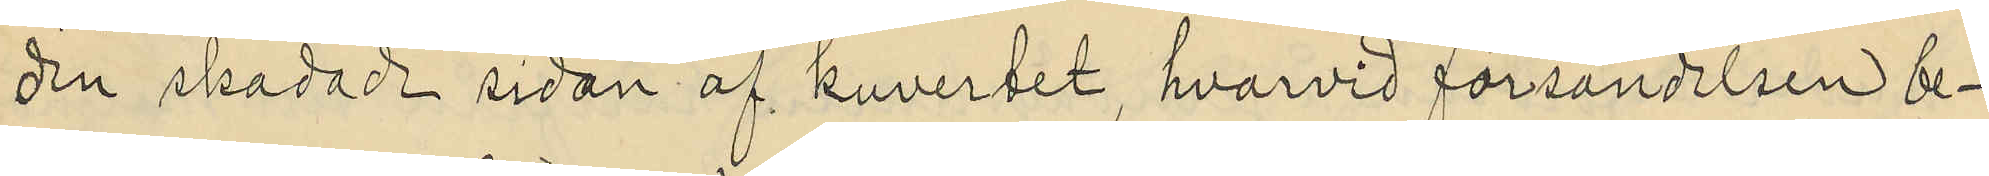den skadade sidan af kuvertet, hvarvid försändelsen be¬
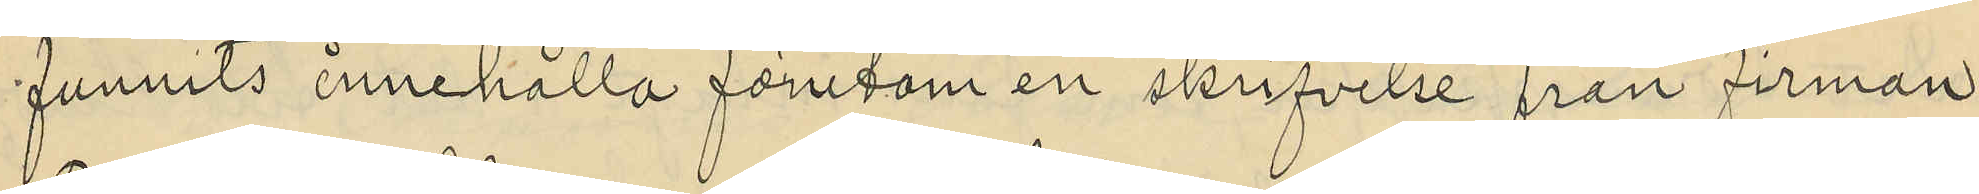funnits innehålla förutom en skrifvelse från firman
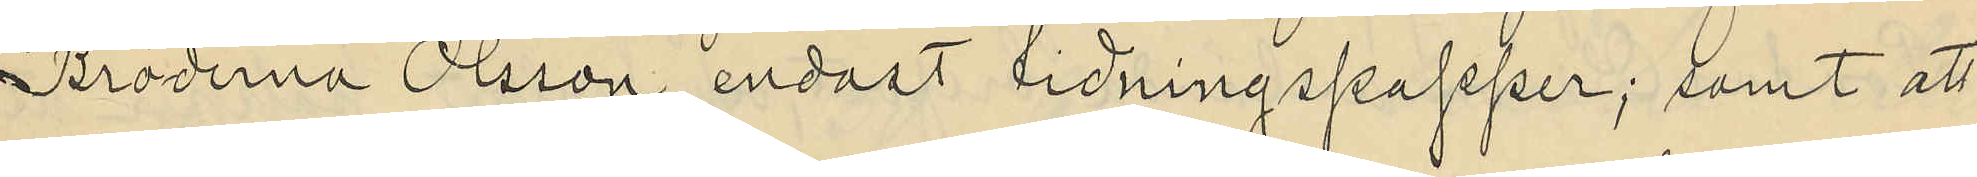Bröderna Olsson, endast tidningspapper; samt att
